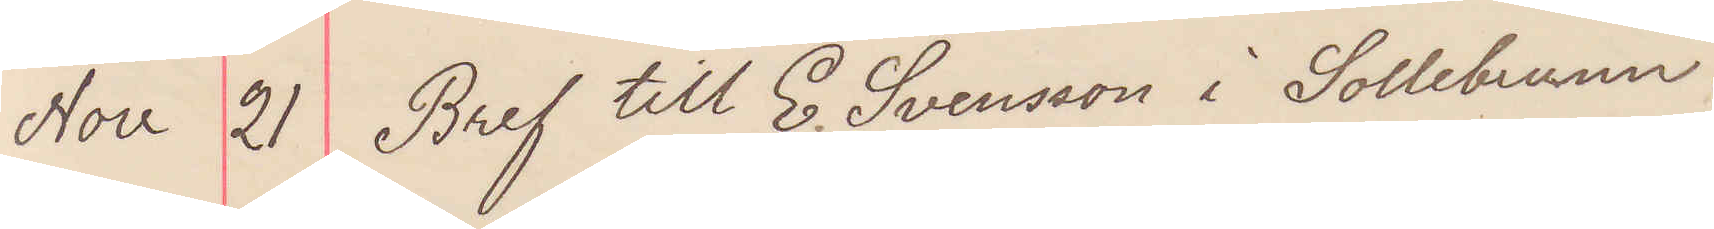Nov 21 Bref till E. Svensson i Sollebrunn.
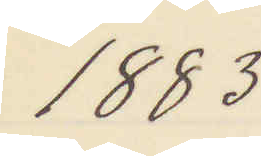1883
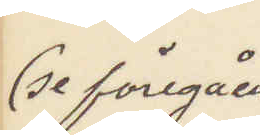(se föregåen¬
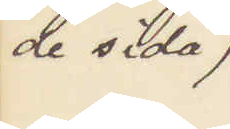de sida)
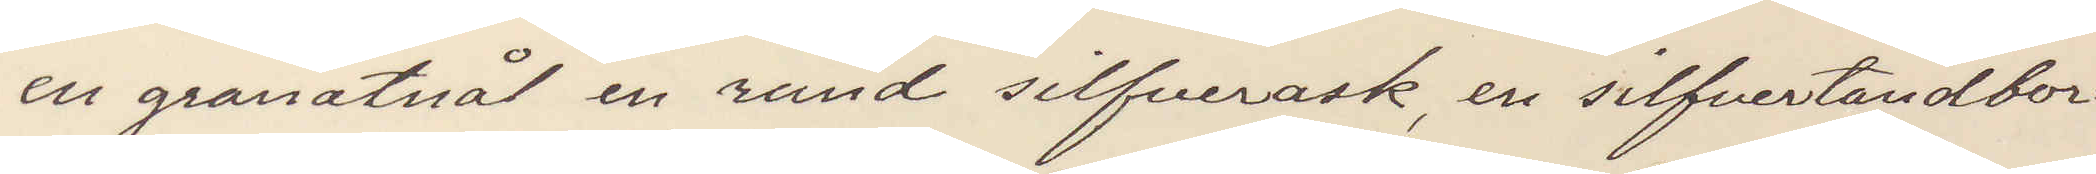en granatnål en rund silfverask, en silfvertandbor¬
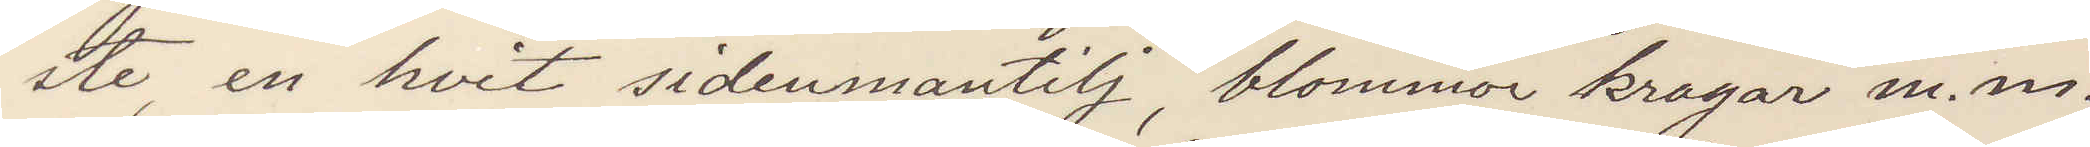ste, en hvit sidenmantilj, blommor kragar m. m. 
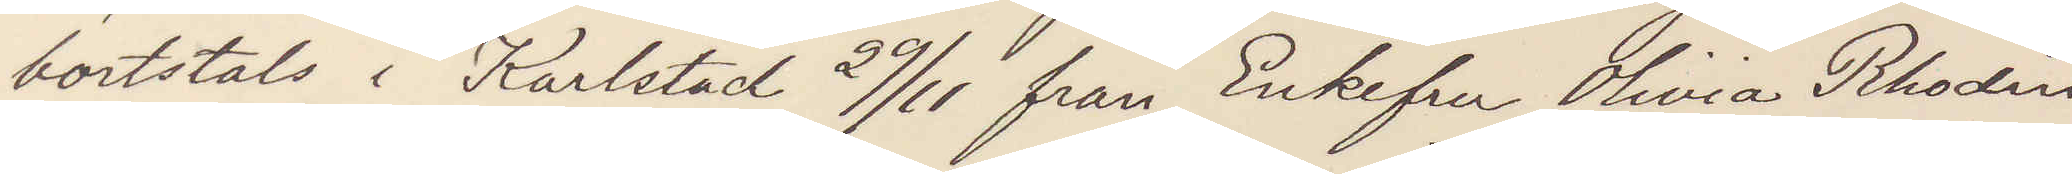bortstals i Karlstad 29/11 från Enkefru Olivia Rhodin
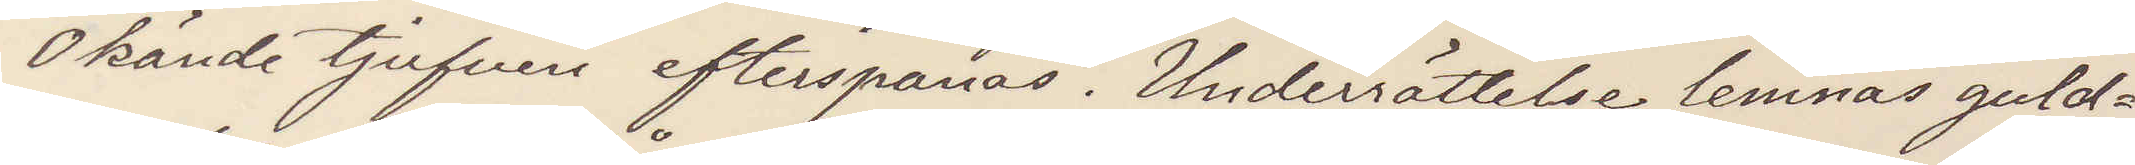Okände tjufven efterspanas. Underrättelse lemnas guld¬
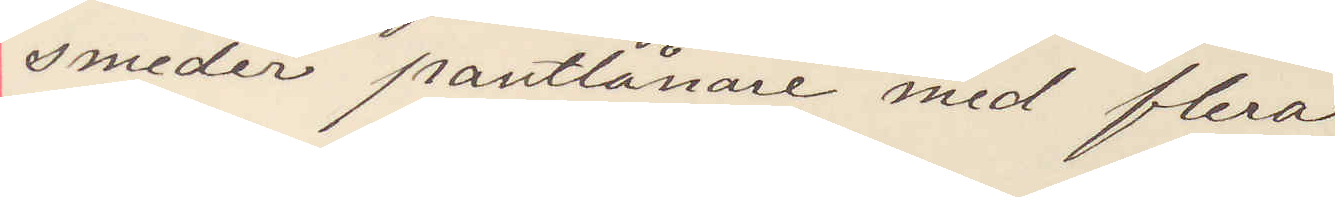smeder pantlånare med flera.
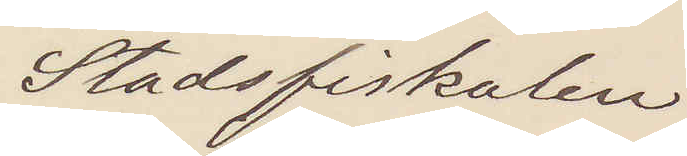Stadsfiskalen
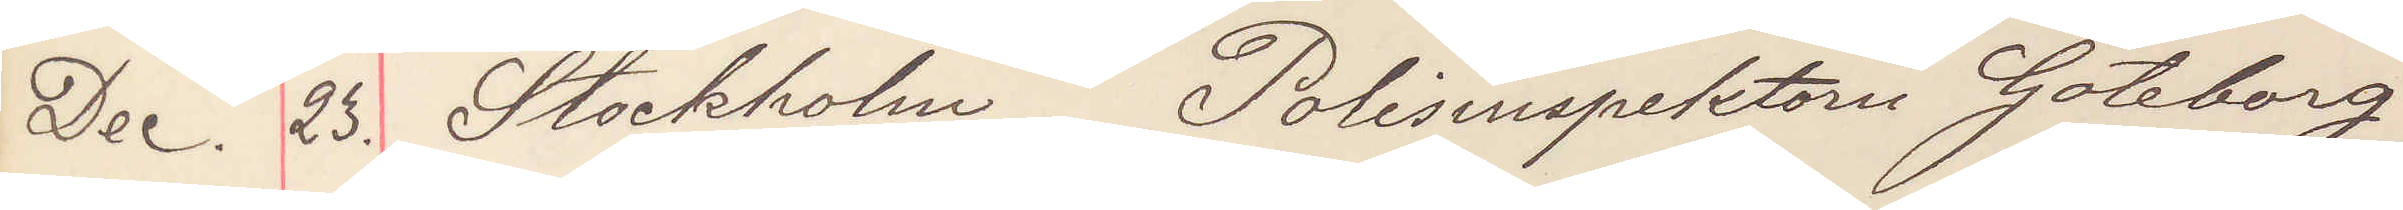Dec. 23. Stockholm Polisinspektorn Göteborg
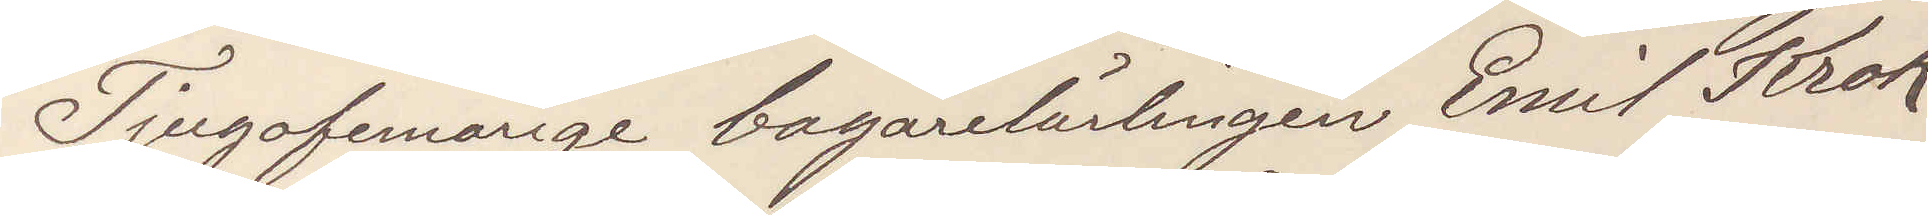Tjugofemårige bagarlärlingen Emil Krok,
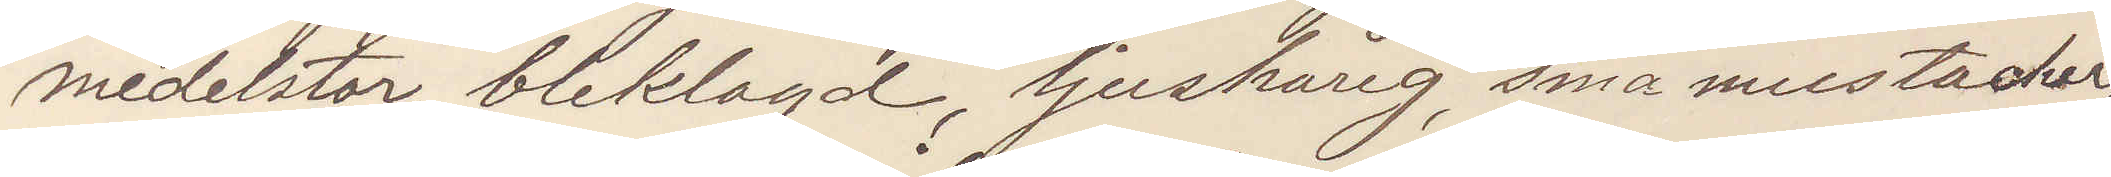medelstor, bleklagd, ljushårig, små mustacher,
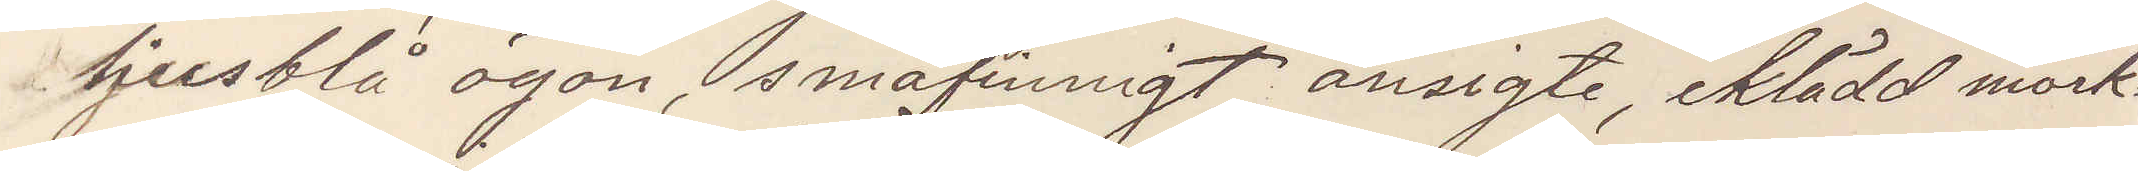ljusblå ögon, småfinnigt ansigte, iklädd mörk¬
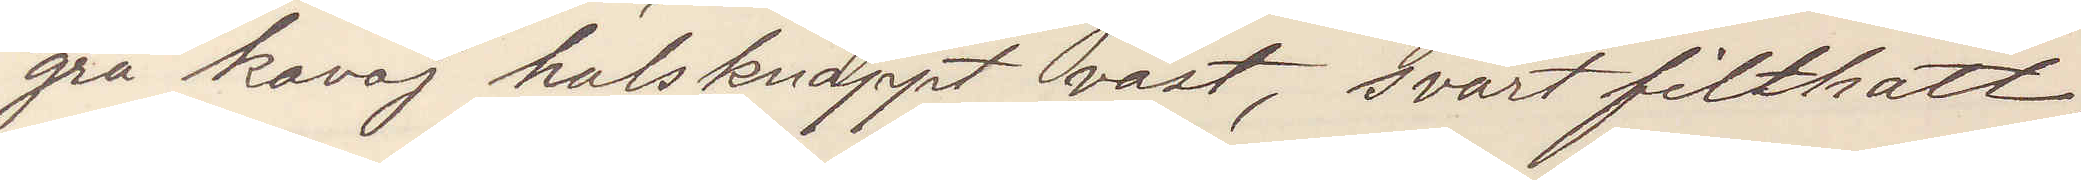grå kavaj halsknäppt väst, svart filthatt,
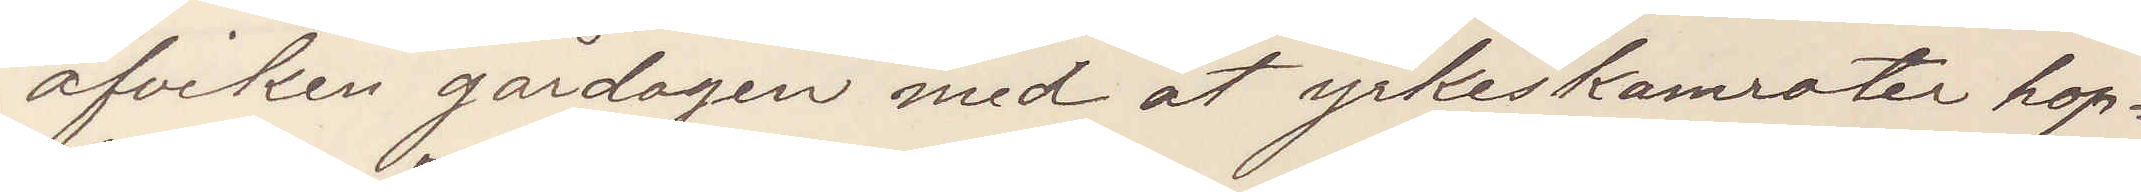afviken gårdagen med åt yrkeskamrater hop¬
